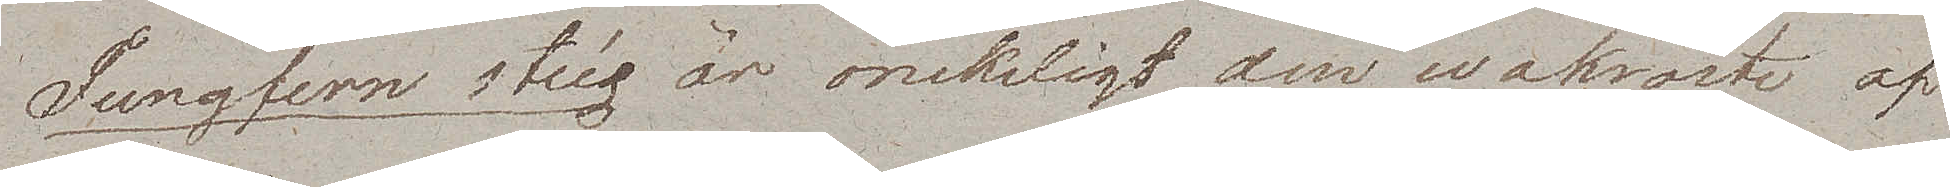Jungfern stieg är onekligt den wakraste af
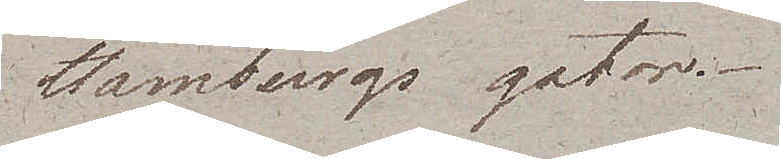Hamburgs gator.
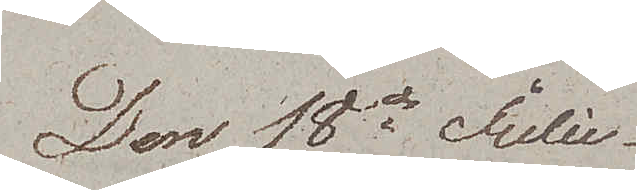Den 18de Julii
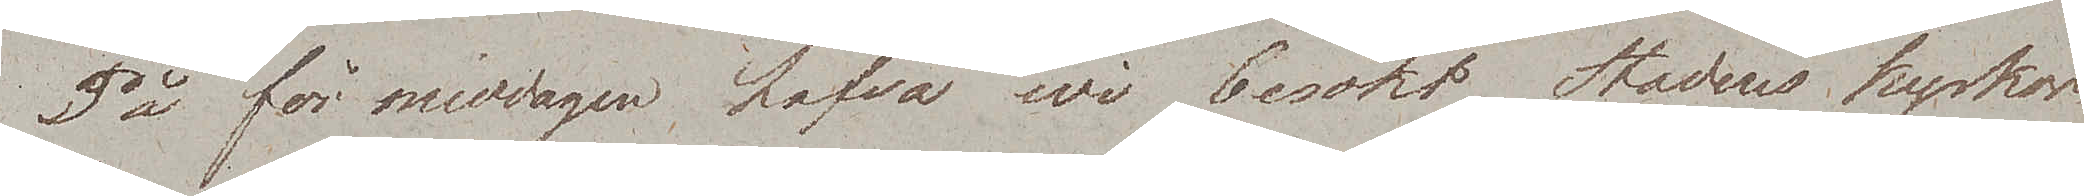På förmiddagen hafva wi besökt Stadens kyrkor
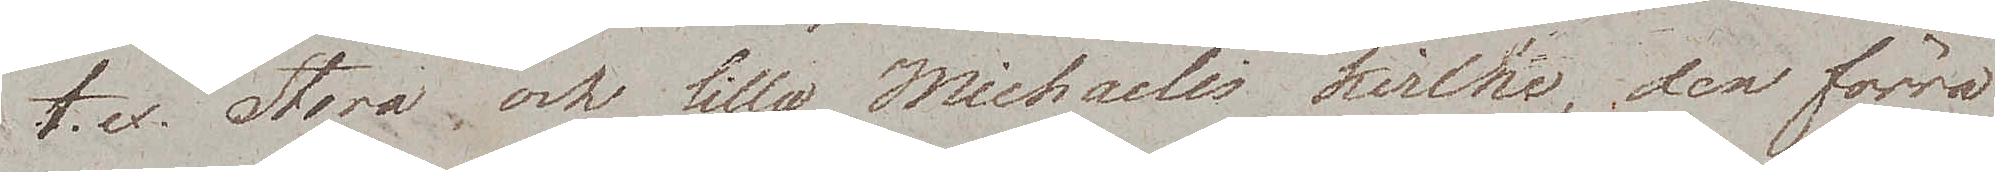t.ex. Stora och lilla Michaelis Kirche, den förra
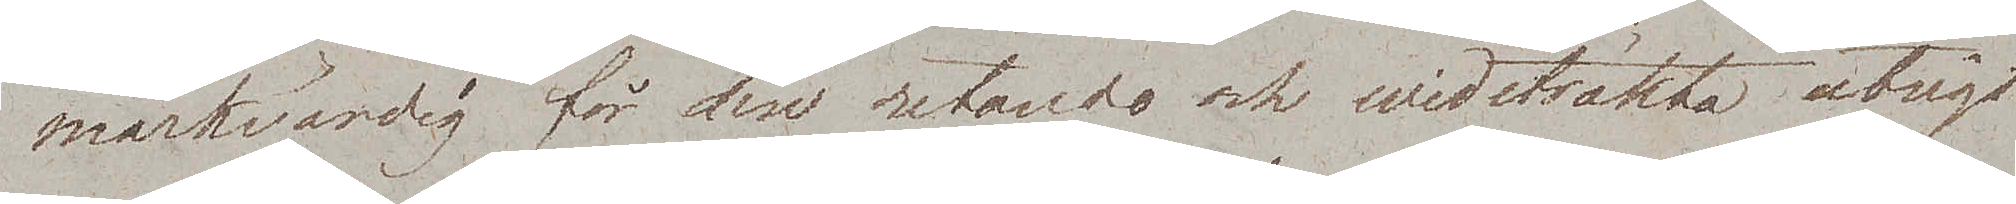märkwärdig för den retande och widsträkta utsigt
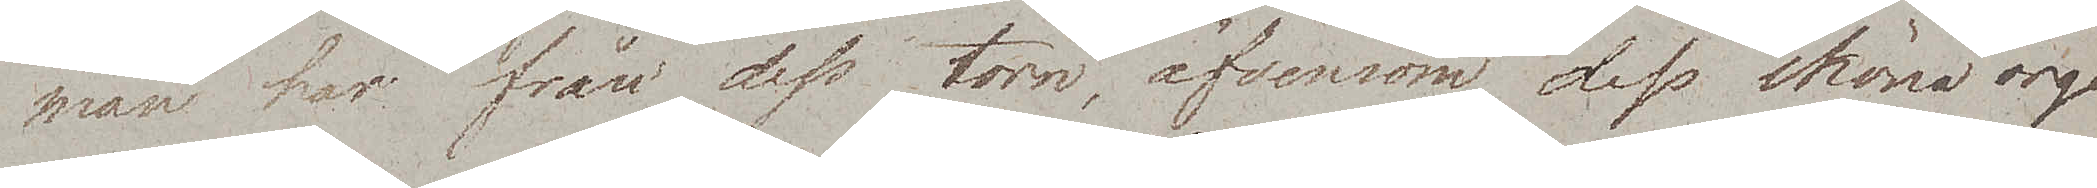man har från dess torn, äfvensom dess sköna orgel,
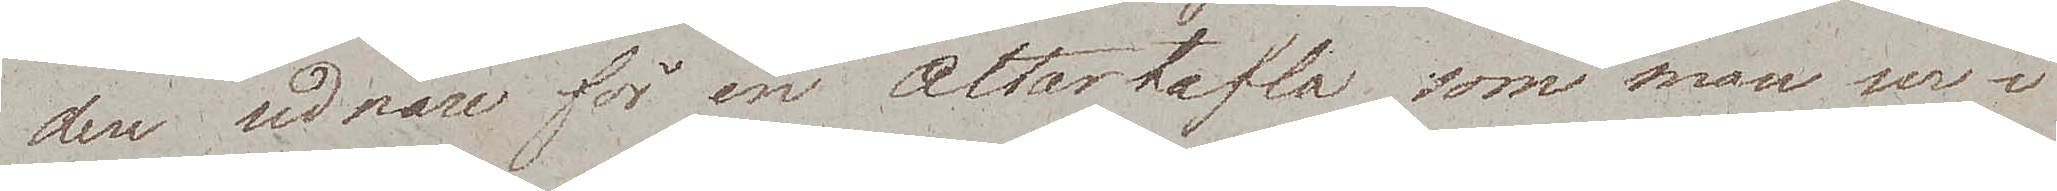den sednare för en altartafla som man ser i
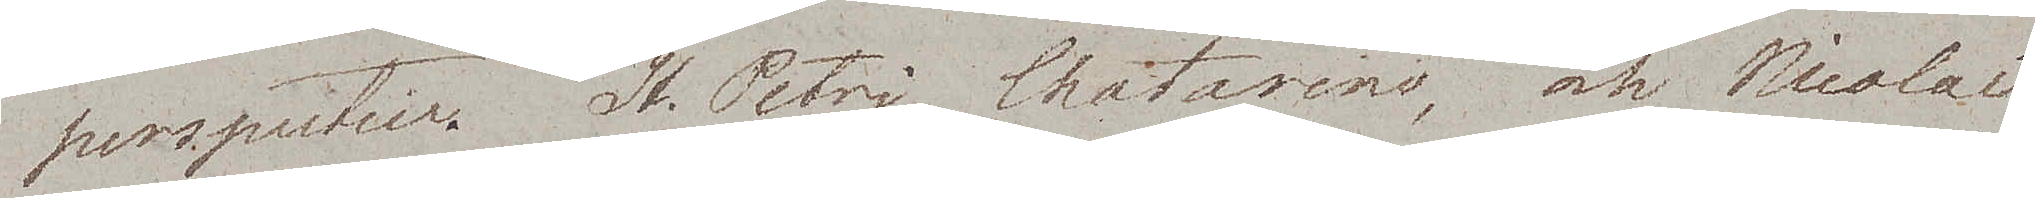perspectiv. St. Petri, Chatarins och Nicolai
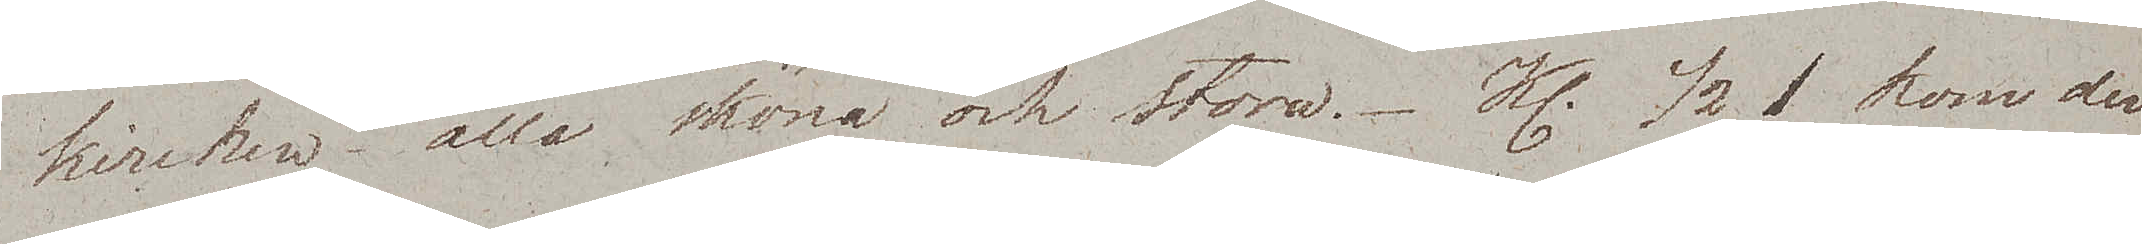kirchen, alla sköna och stora. Kl. ½1 kom den
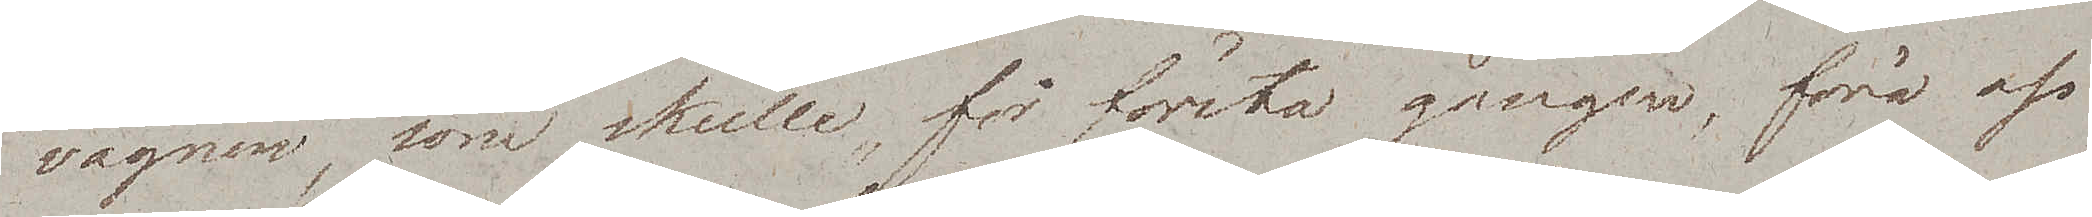vagnen, som skulle, för första gången, föra oss
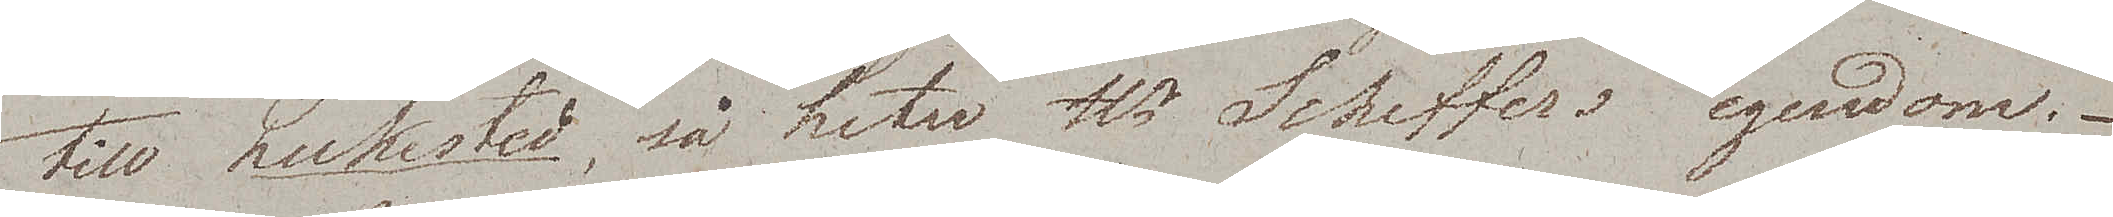till Lukested, så heter Hr Scheffers egendom.-
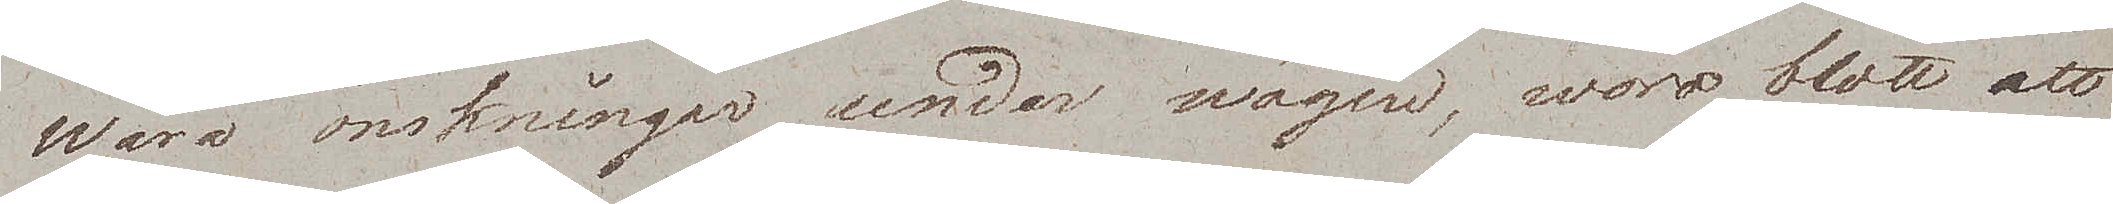Wåra önskningar under wägen, woro blott att
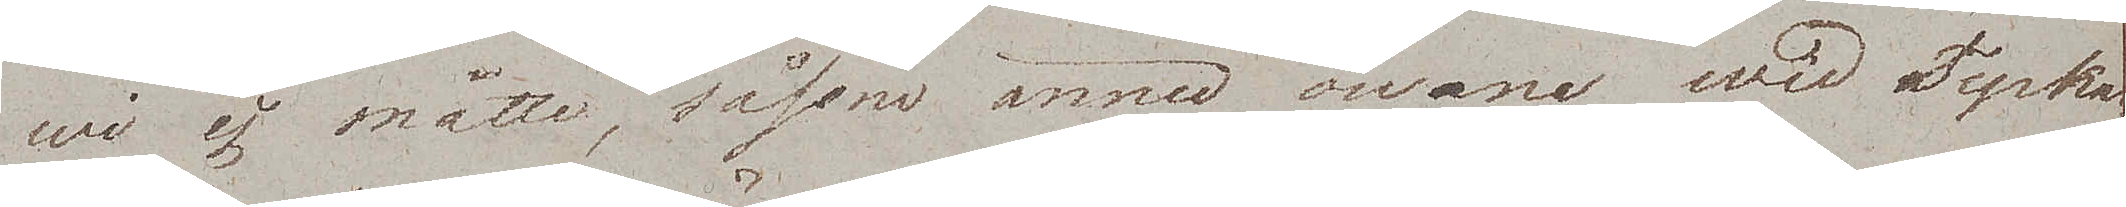wi ej måtte, såsom ännu owana wid Tyskar¬
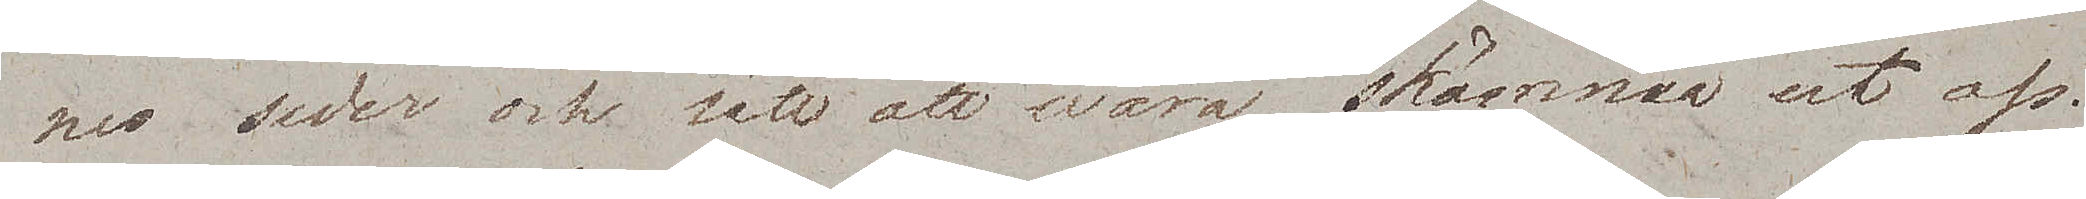nes seder och sätt att wara, skämma ut oss.
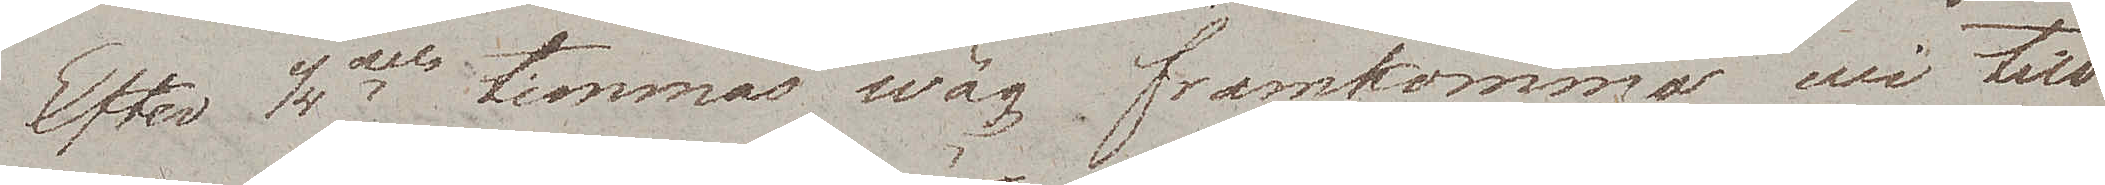Efter 1/4dels timmas wäg framkomma wi till
